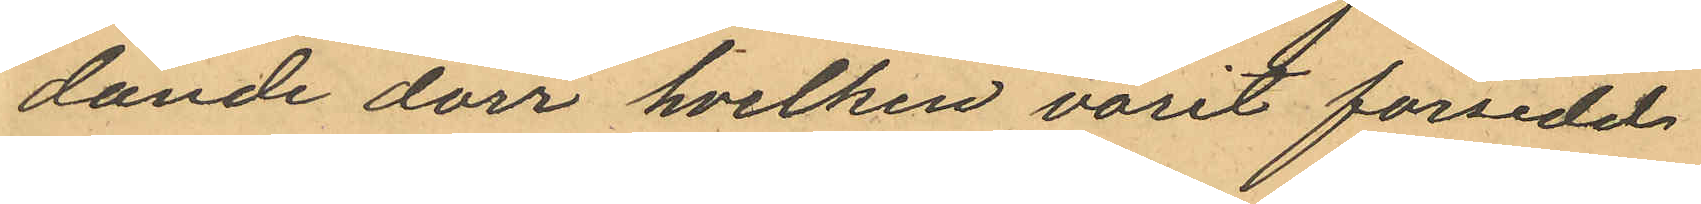dande dörr hvilken varit försedd
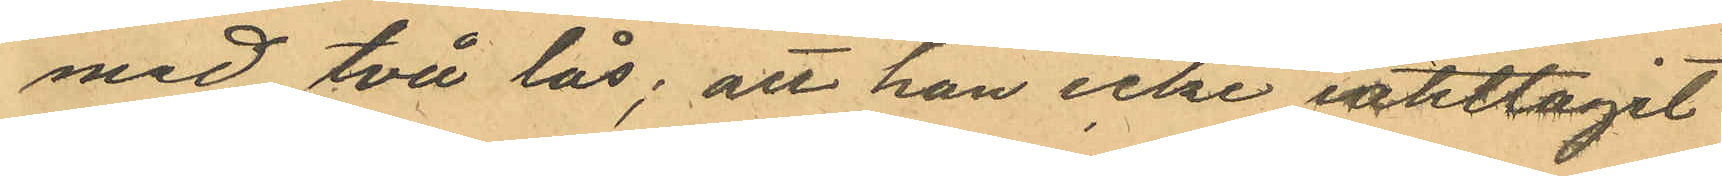med två lås; att han icke iakttagit
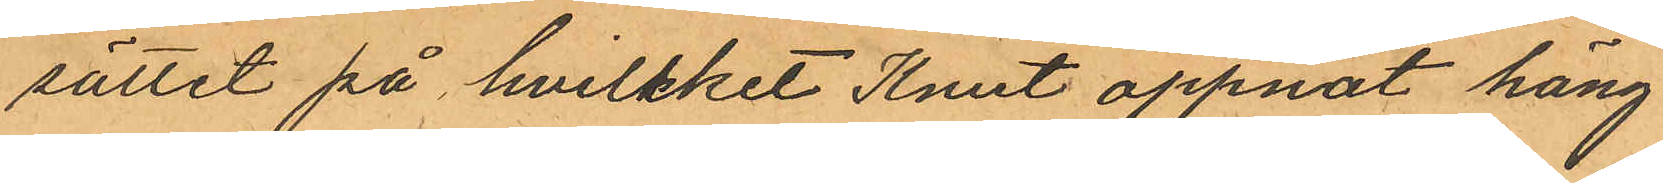sättet på hvilket Knut öppnat häng¬
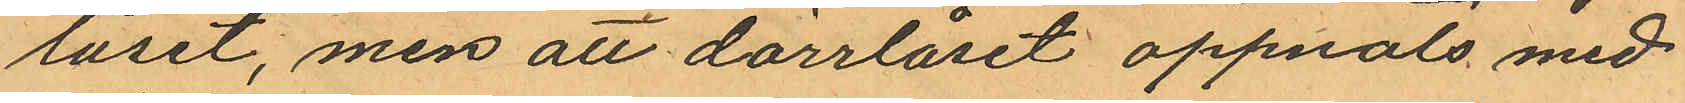låset, men att dörrlåset öppnats med
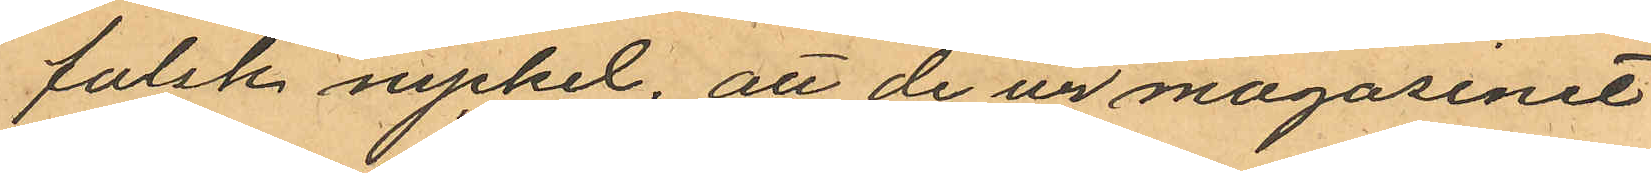falsk nyckel, att de ur magasinet
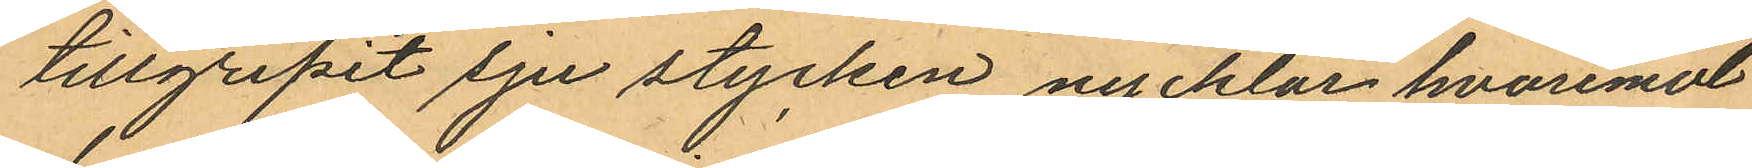tillgripit sju stycken nycklar hvaremot
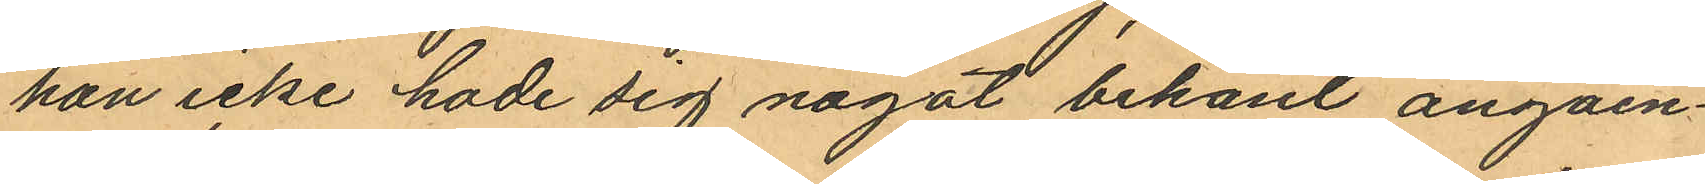han icke hade sig något bekant angåen¬
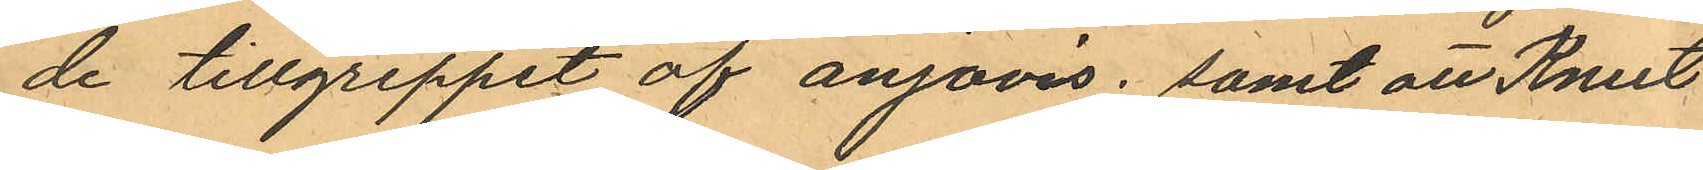de tillgreppet af anjovis; samt att Knut
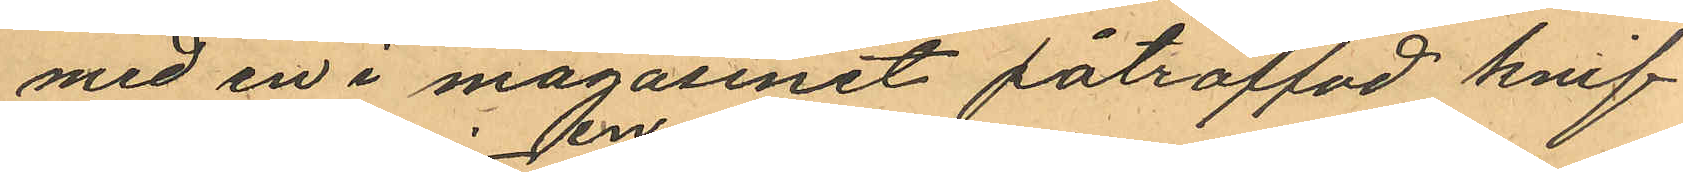med en i magasinet påträffad knif
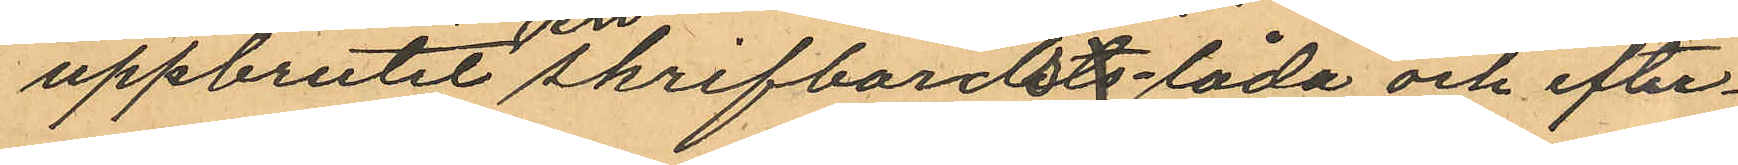uppbrutit en skrifbordsts-låda och efter¬
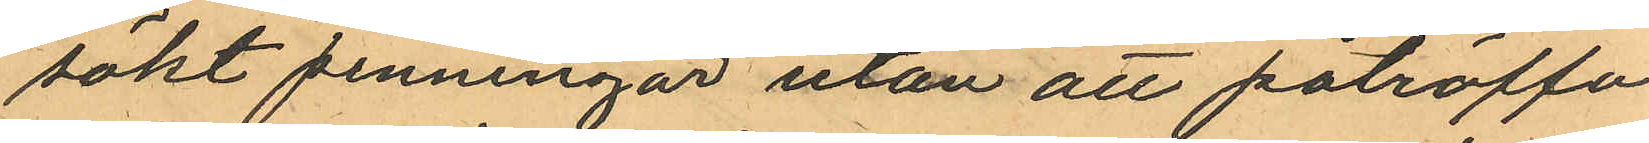sökt penningar utan att påträffa
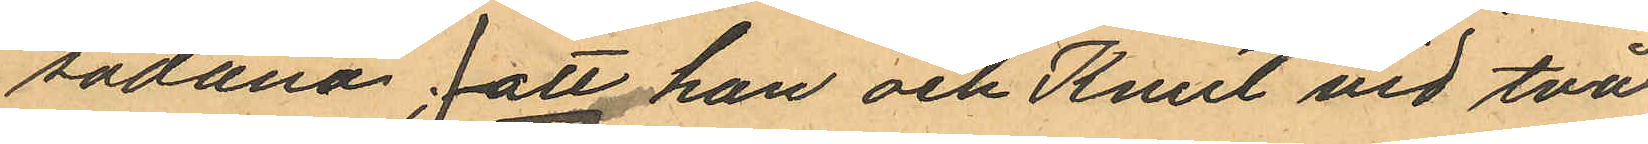sådana; att han och Knut vid två
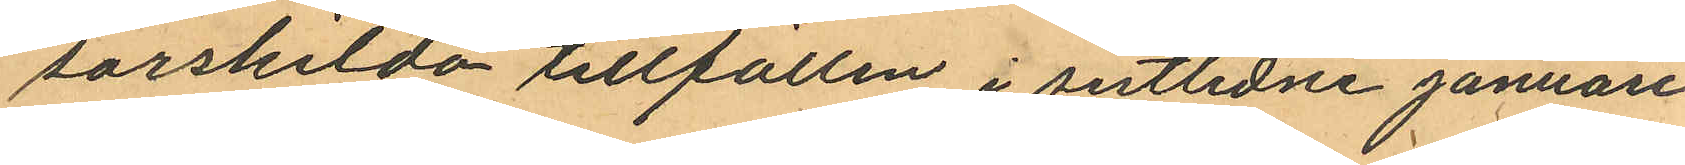särskilda tillfällen i sistlidne Januari
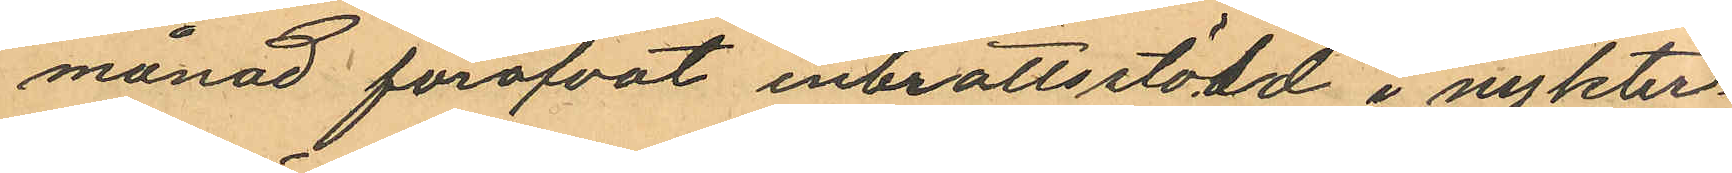månad föröfvat inbrottsstöld i nykter¬
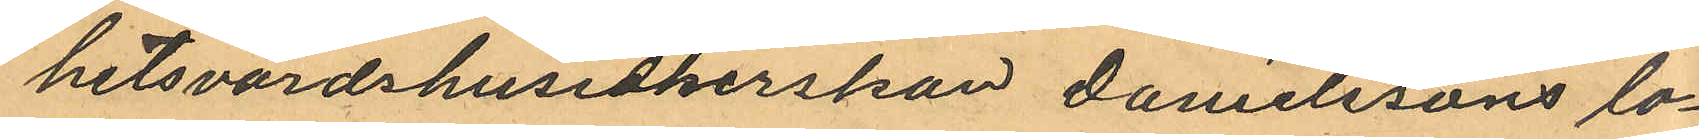hetsvärdshusidkerskan Danielssons lo¬
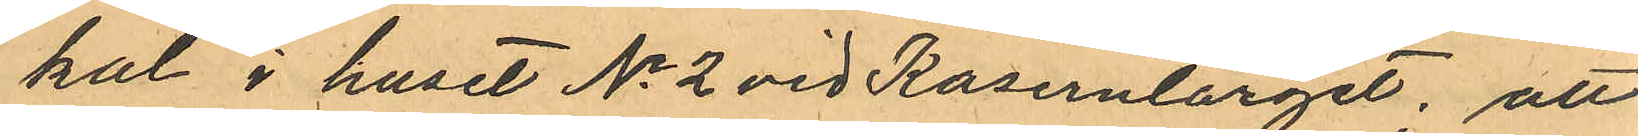kal i huset No 2 vid Kaserntorget; att
